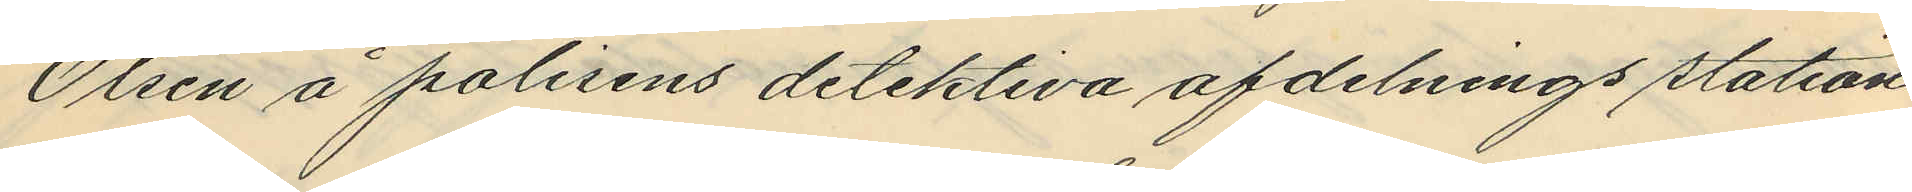Olsén å polisens detektiva afdelnings station
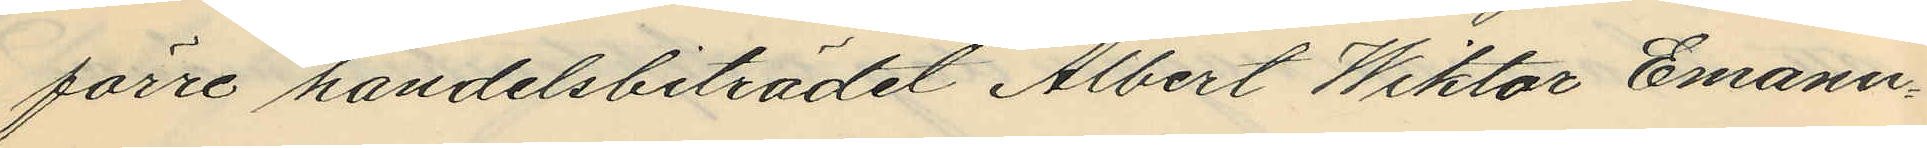förre handelsbiträdet Albert Wiktor Emanu¬
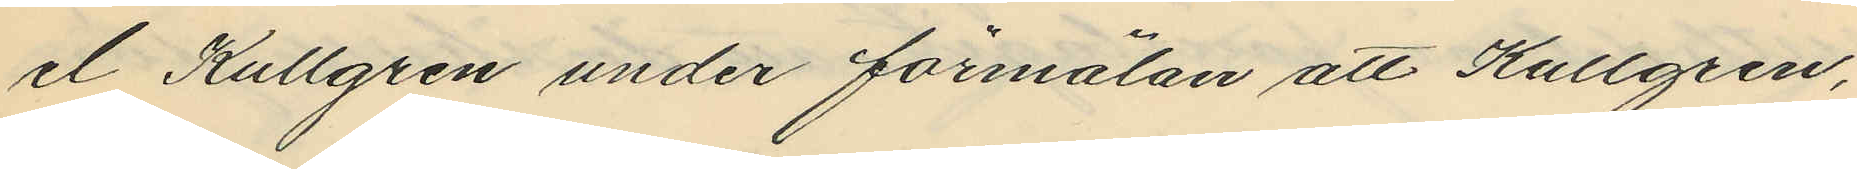el Kullgren under förmälan att Kullgren,
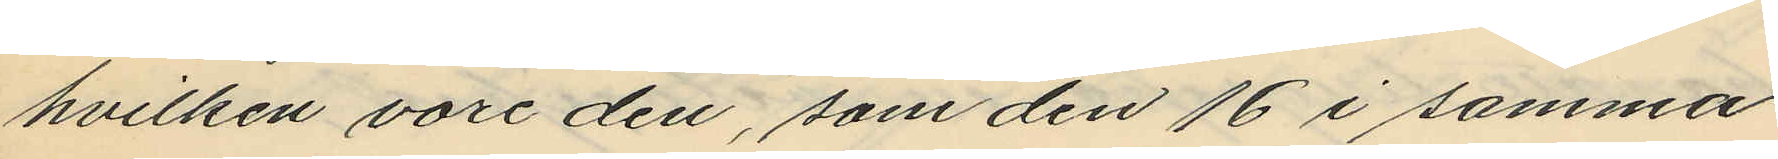hvilken vore den, som den 16 i samma
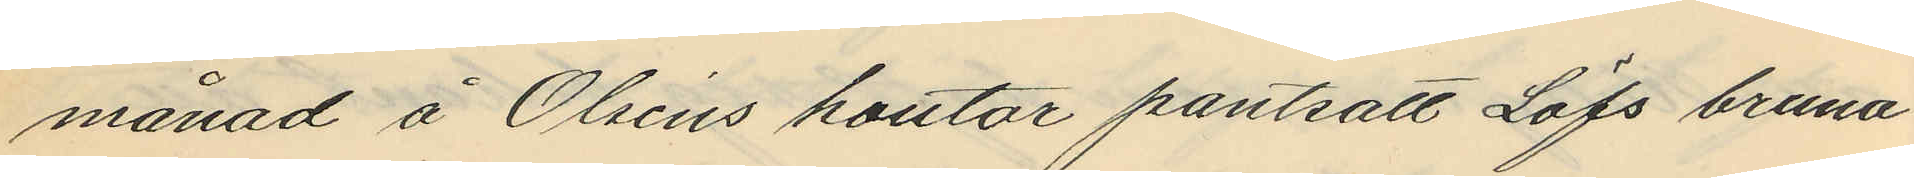månad å Olséns kontor pantsatt Löfs bruna
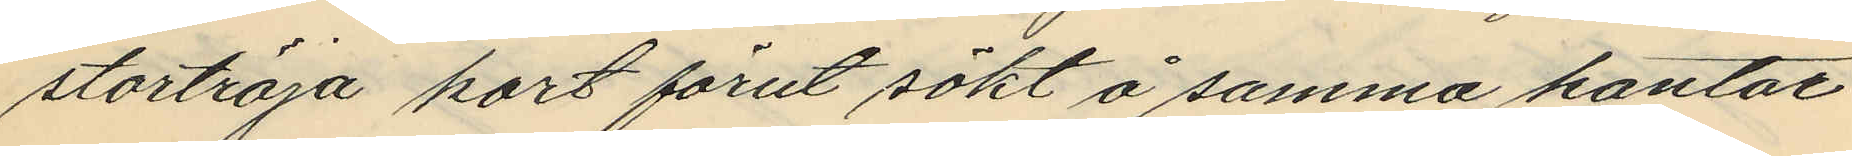stortröja kort förut sökt å samma kontor
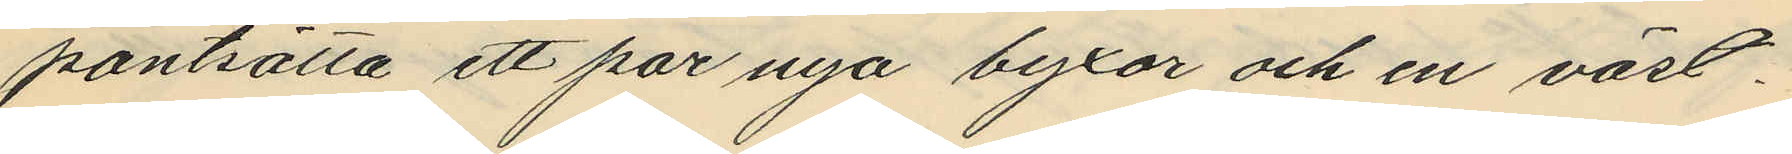pantsätta ett par nya byxor och en väst.
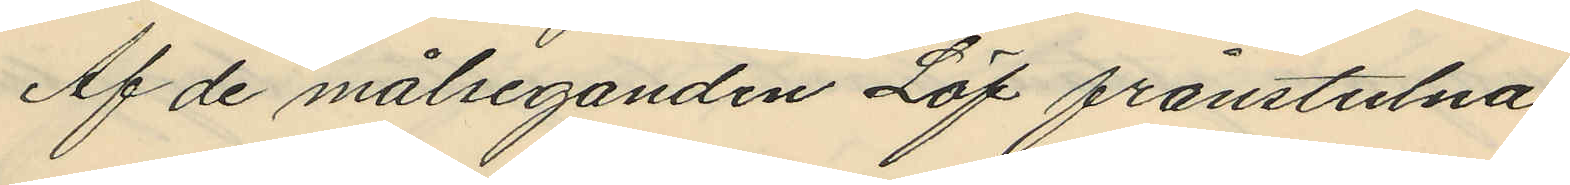Af de målseganden Löf frånstulna
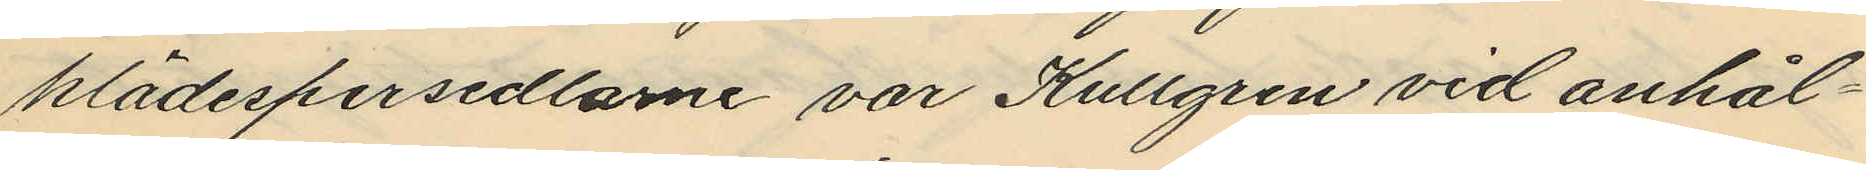klädespersedlarne var Kullgren vid anhål¬
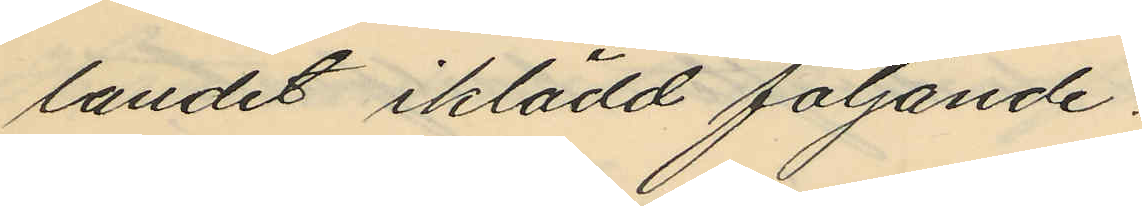landet iklädd följande:
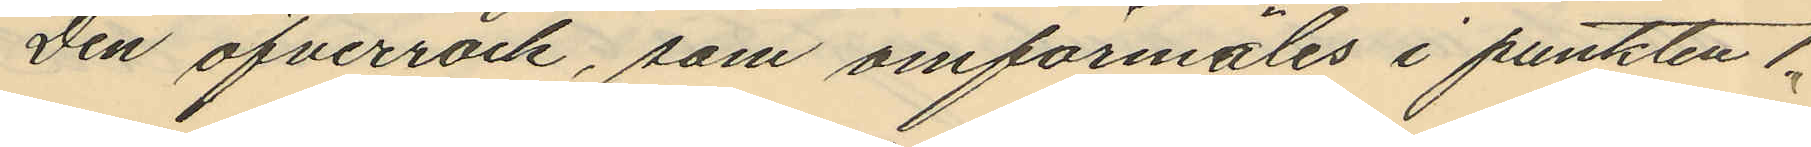Den öfverrock, som omförmäles i punkten 1,
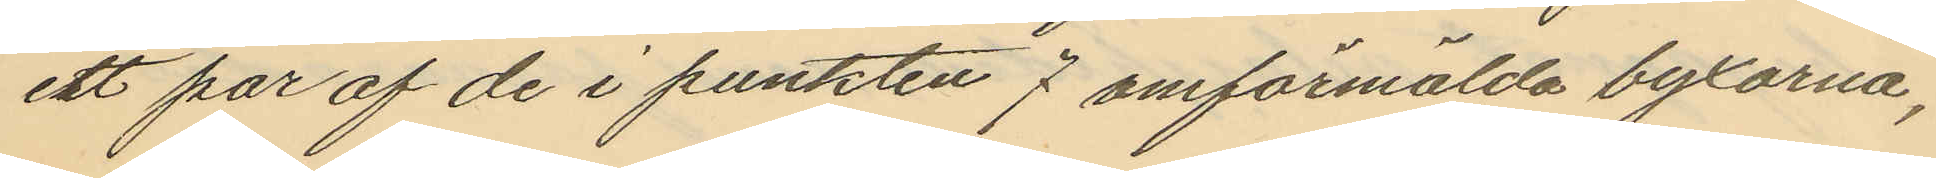ett par af de i punkten 7 omförmälda byxorna,
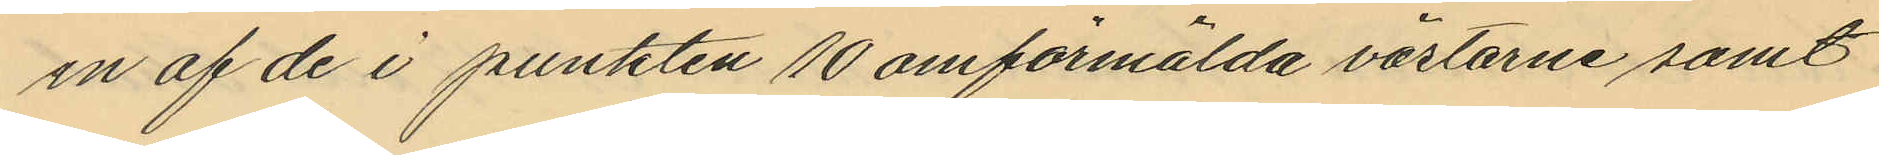en af de i punkten 10 omförmälda västarne samt
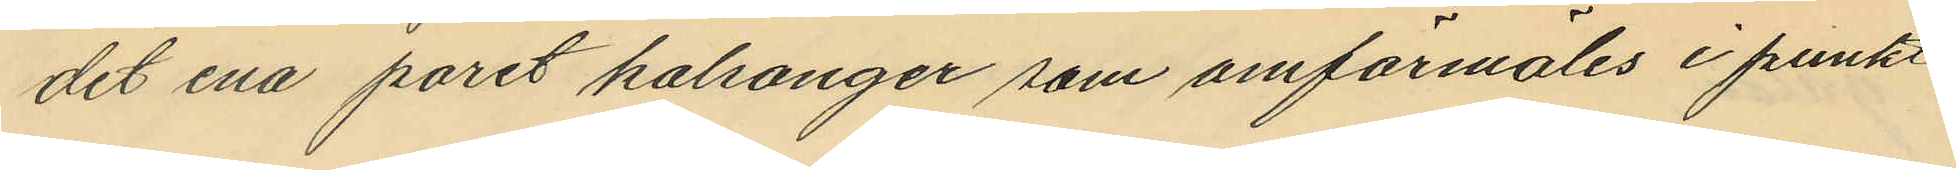det ena paret kalsonger som omförmäles i punkt
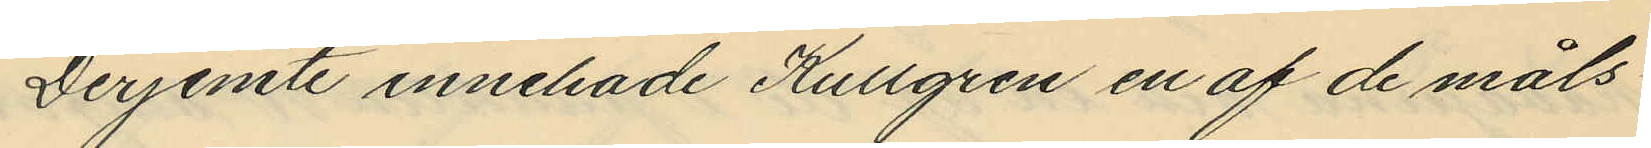Derjemte innehade Kullgren en af de måls¬
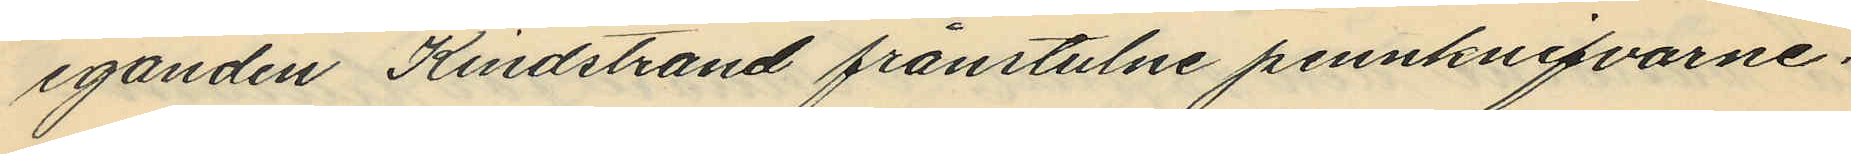eganden Kindstrand frånstulne pennknifvarne.
